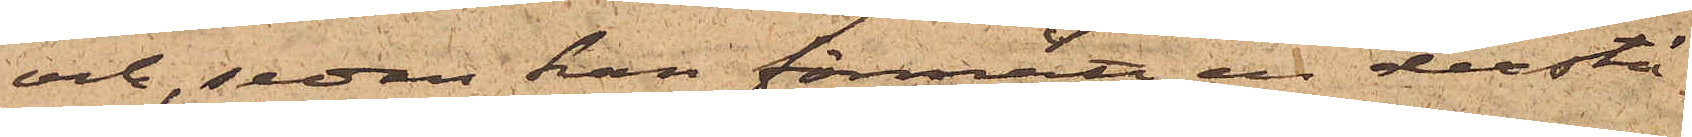och, sedan han förmått en derstä¬
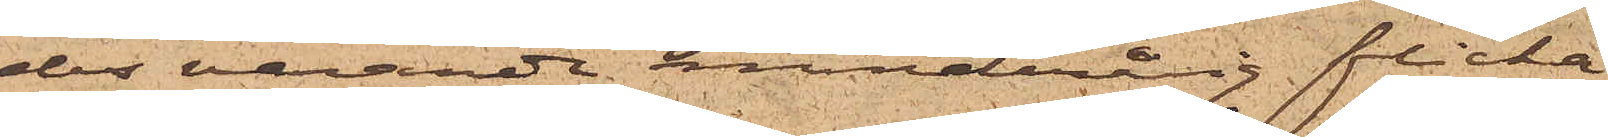des varande minderårig flicka
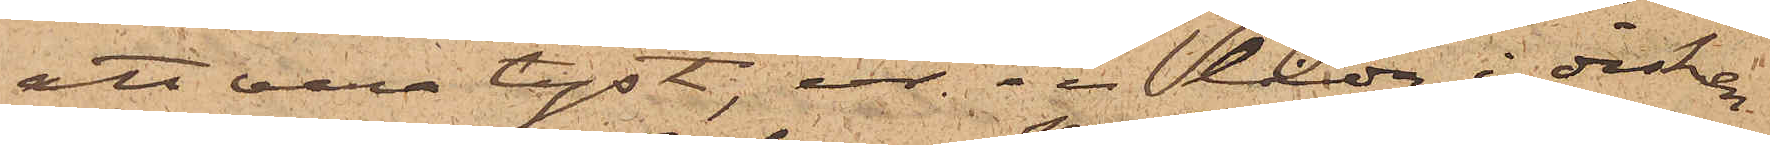att vara tyst, ur en låda i disken
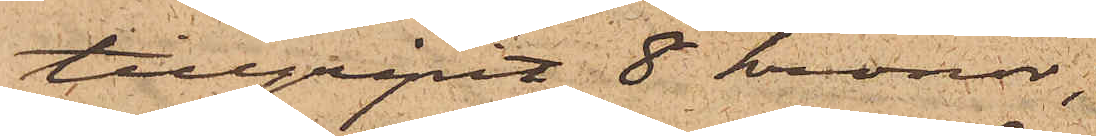tillgripit 8 kronor;
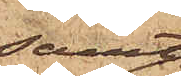samt
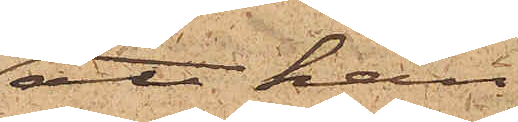att han
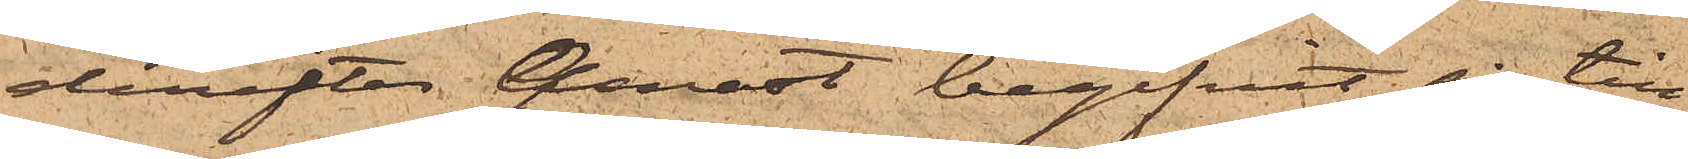derefter genast begifvit sig till
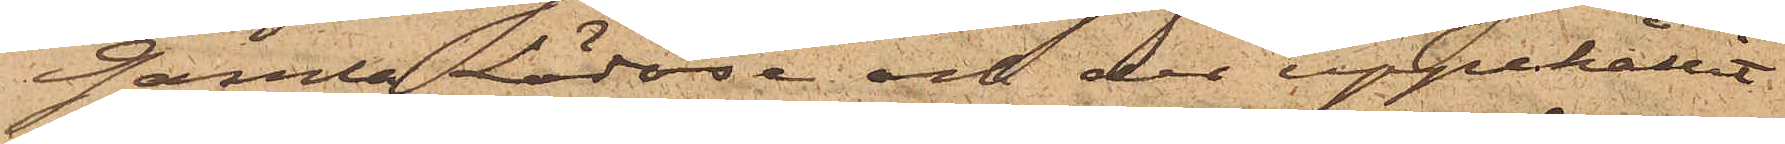Gamla Lödöse; och der uppehållit
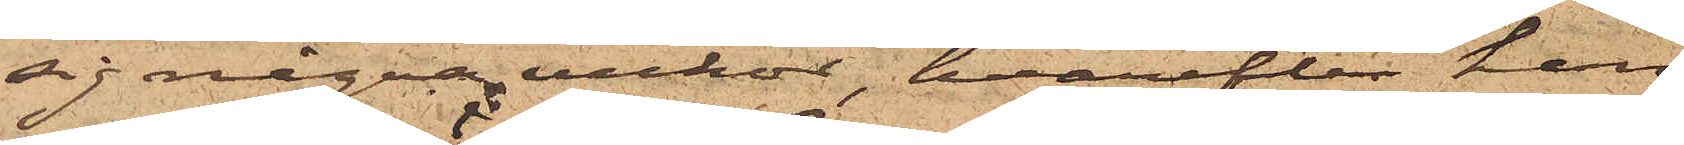sig några veckor, hvarefter han
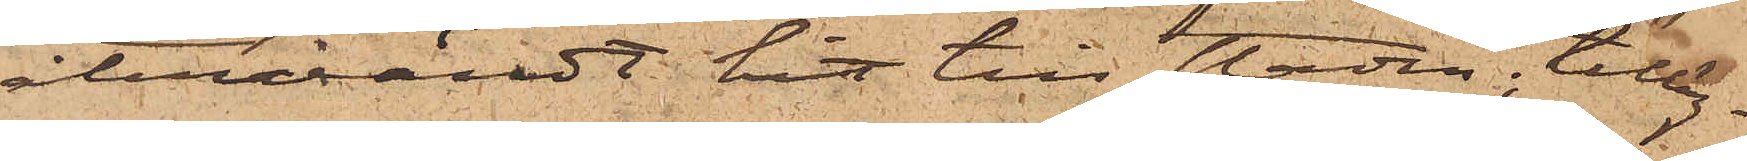återvändt hit till staden, tilläg¬
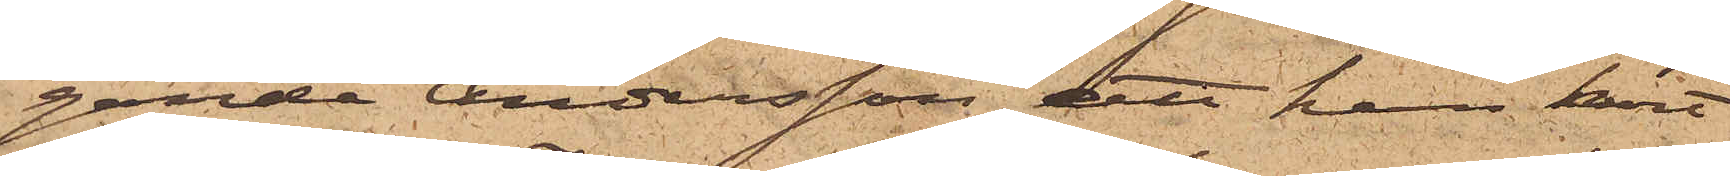gande Andersson, att han kort
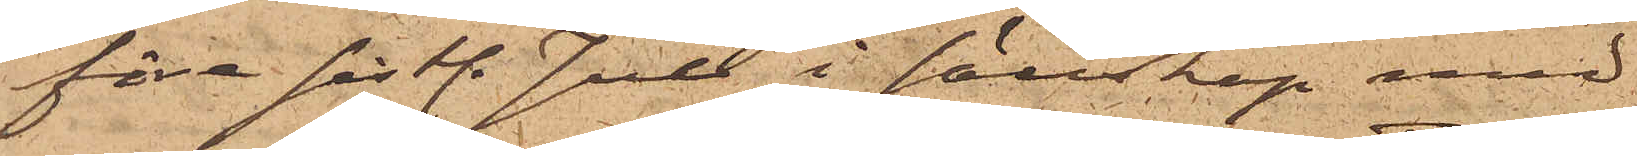före sistl. Jul i sällskap med
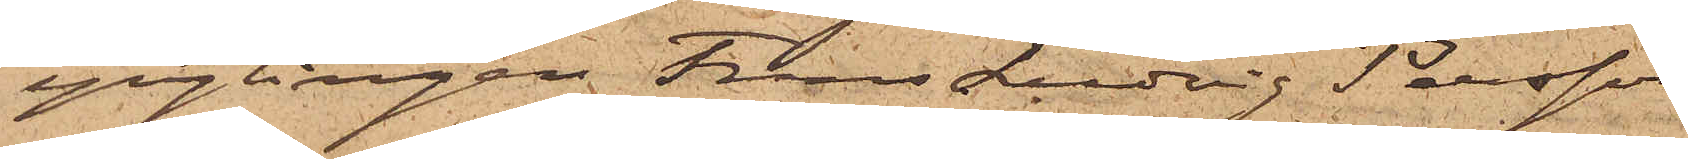ynglingen Frans Ludvig Persson
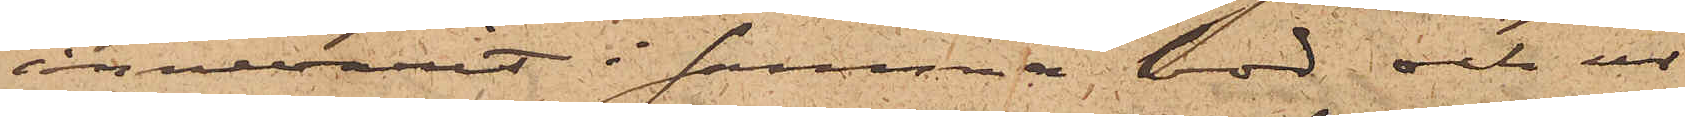innevarit i samma bod och ur
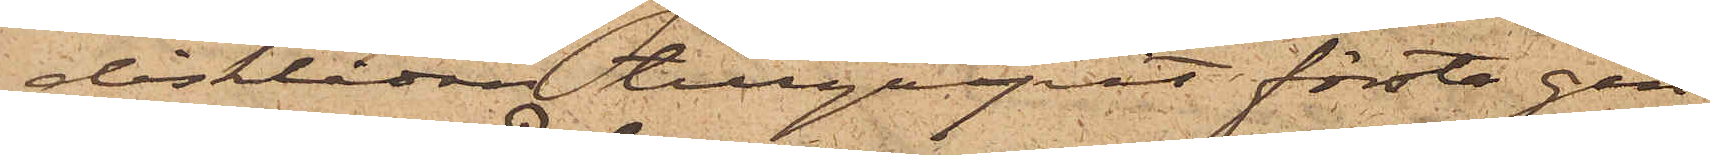disklådan tillgripit första gån¬
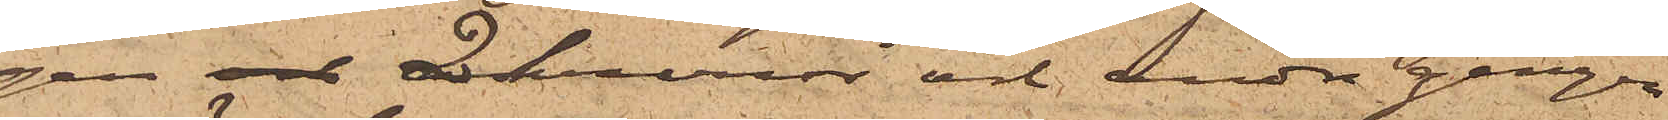gen och 2 kronor och andra gången
